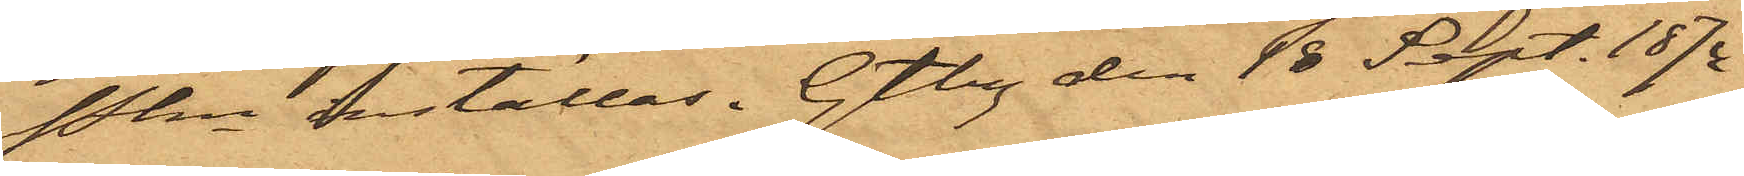Pkn inställas. Gtbg den 18 Sept. 1874
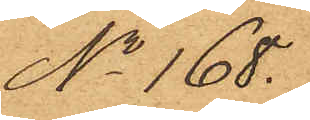No 168.
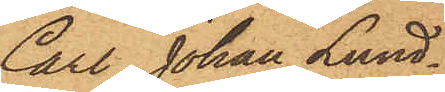Carl Johan Lund¬
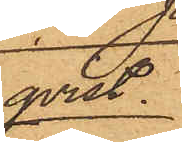qvist
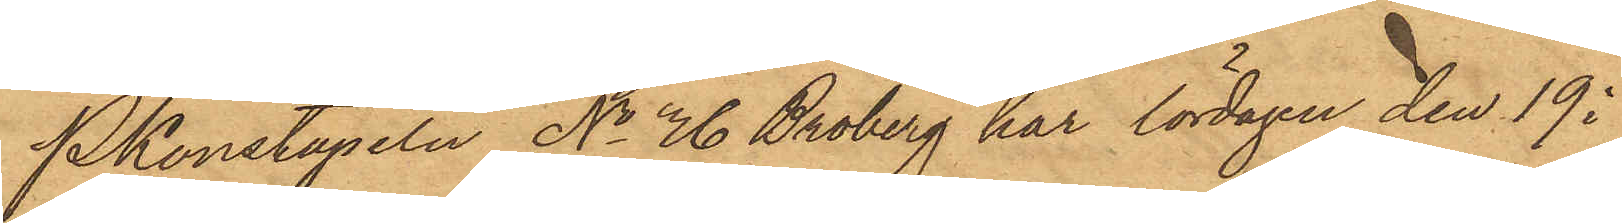Pkonstapeln No 76 Broberg har lördagen den 19 i
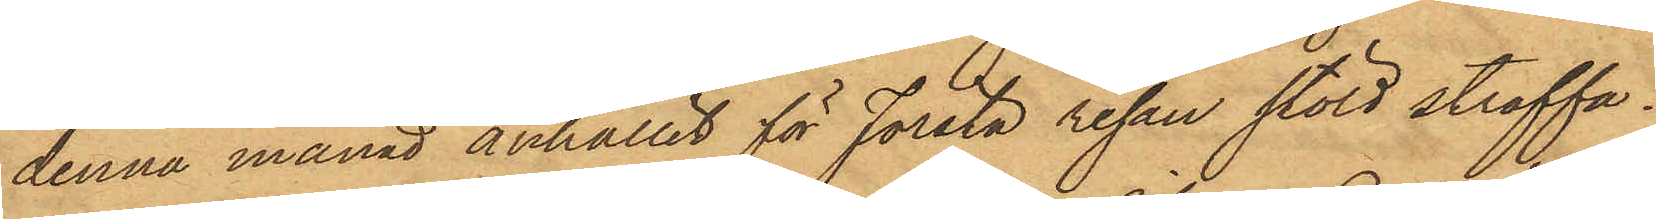denna månad anhållit för första resan stöld straffa¬
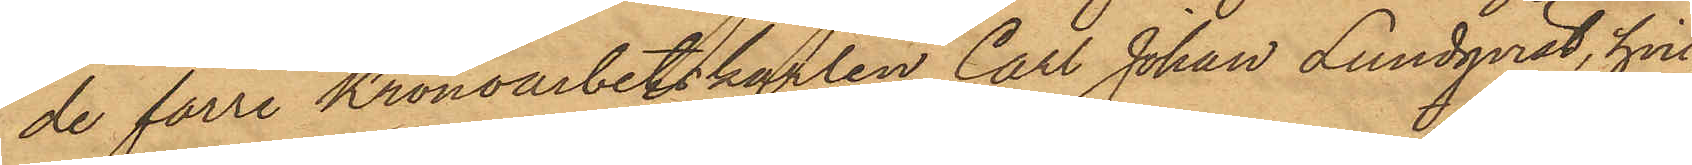de förre Kronoarbetskarlen Carl Johan Lundqvist, hvil¬
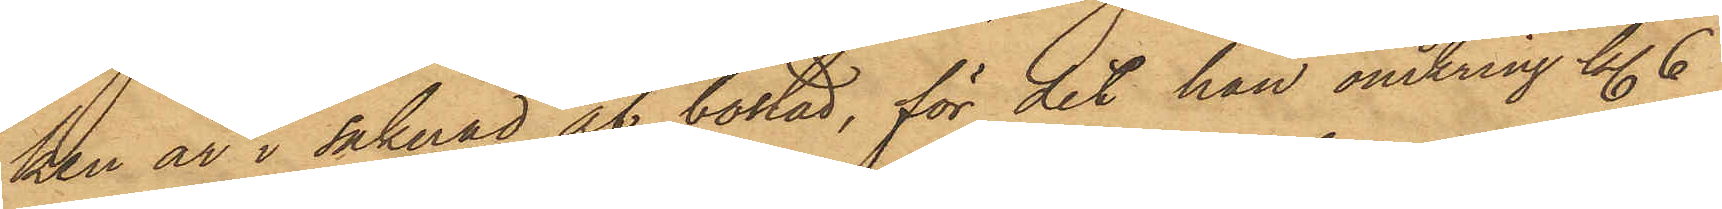ken är i saknad af bostad, för det han omkring kl. 6
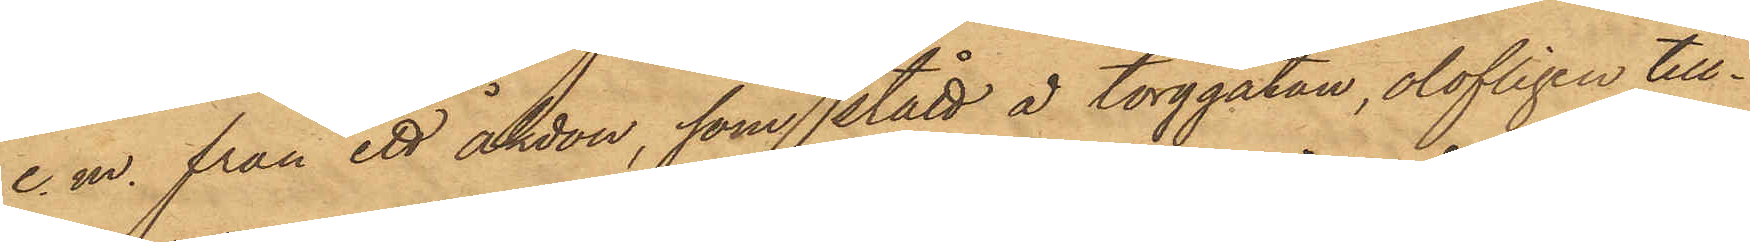e.m. från ett åkdon, som stått å torggatan, olofligen till¬
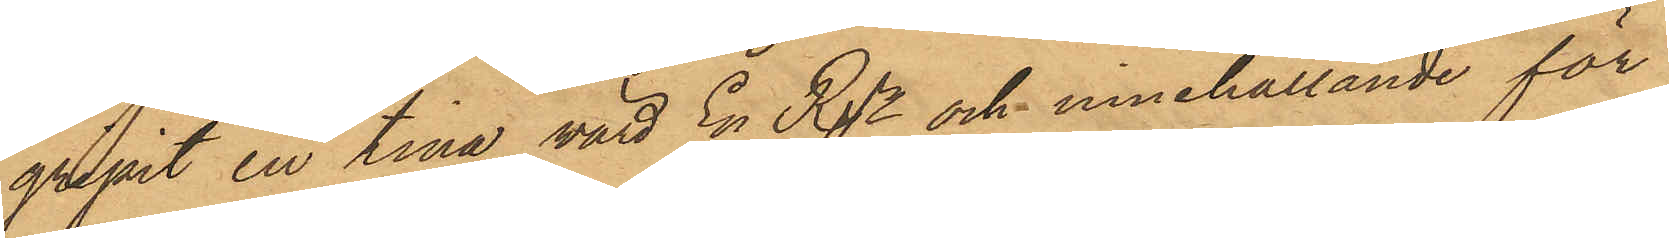gripit en tina, värd En Rdr och innehållande för
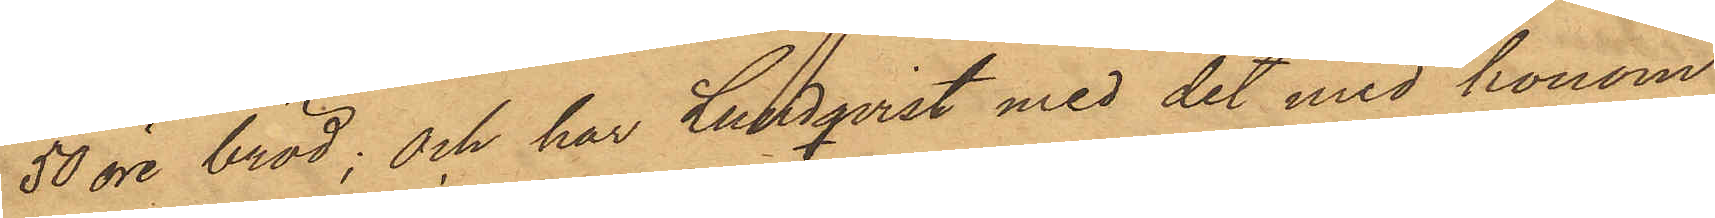50 öre bröd; och har Lundqvist vid det med honom
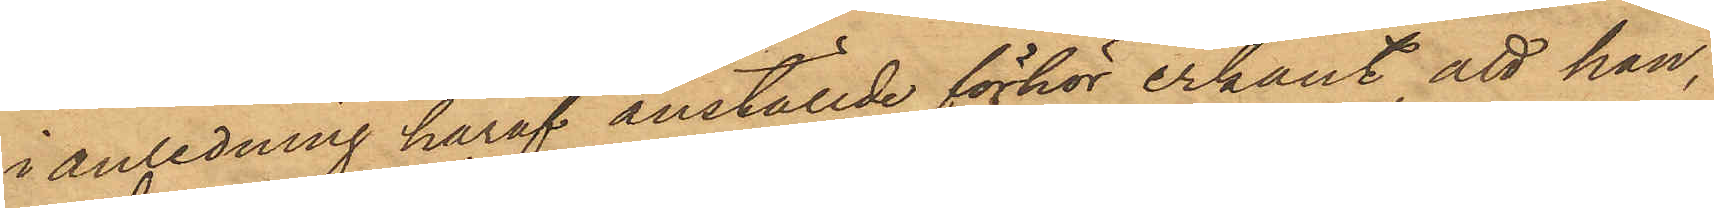i anledning häraf anställde förhör erkänt, att han,
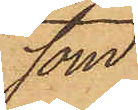som
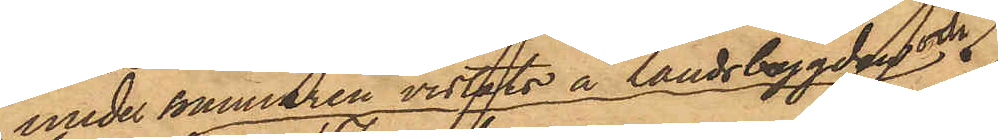under sommaren vistats å landsbygden och
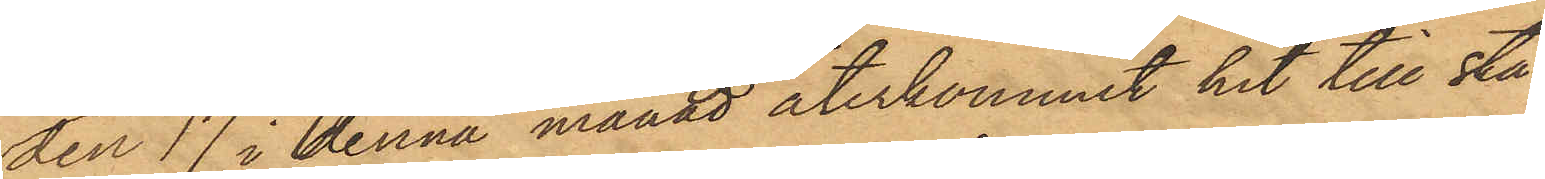den 17 i denna månad återkommit hit till sta¬
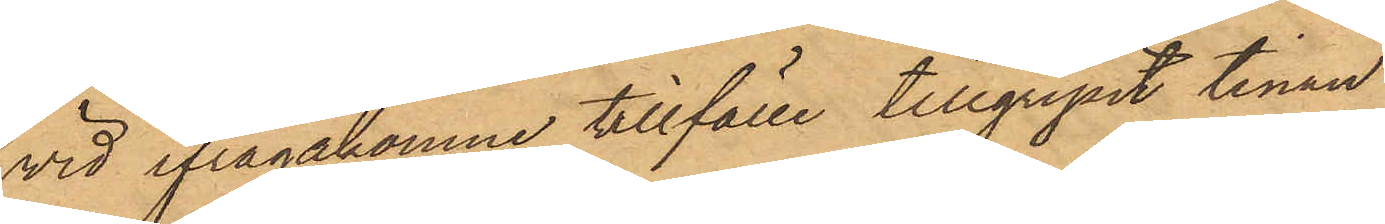vid ifrågakomne tillfälle tillgripit tinan
